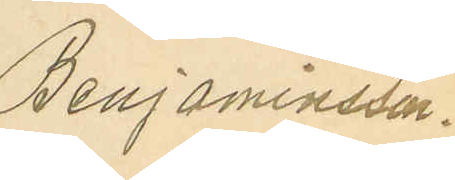Benjaminsson.
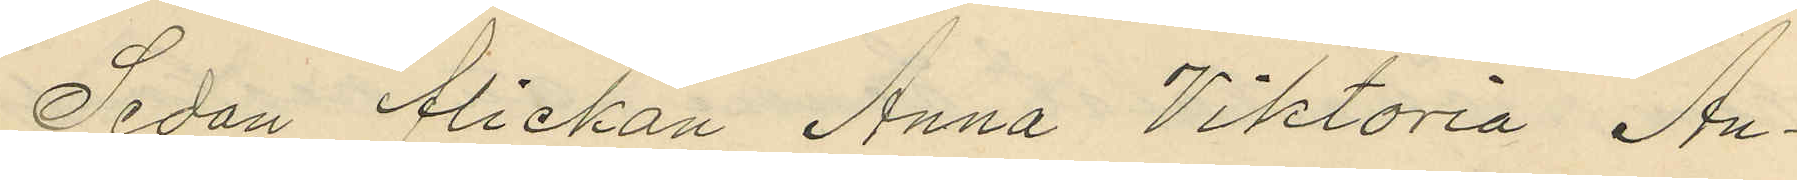Sedan flickan Anna Viktoria An¬
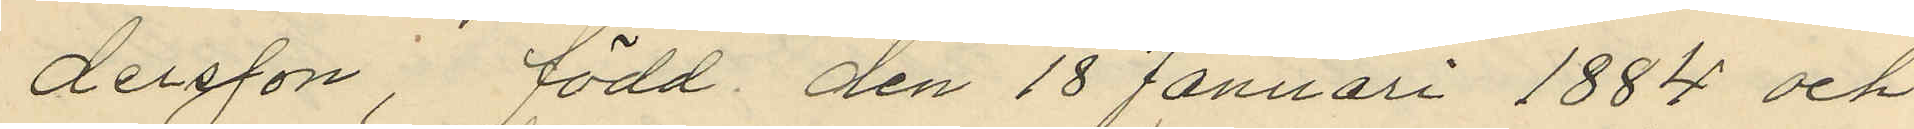dersson, född den 18 Januari 1884 och
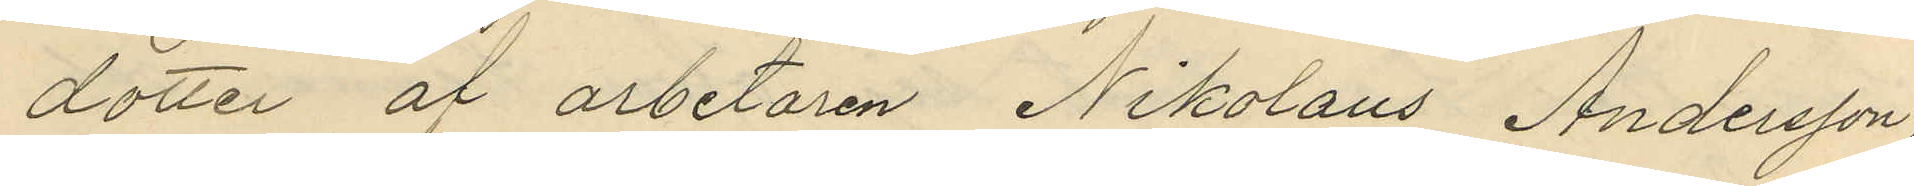dotter af arbetaren Nikolaus Andersson
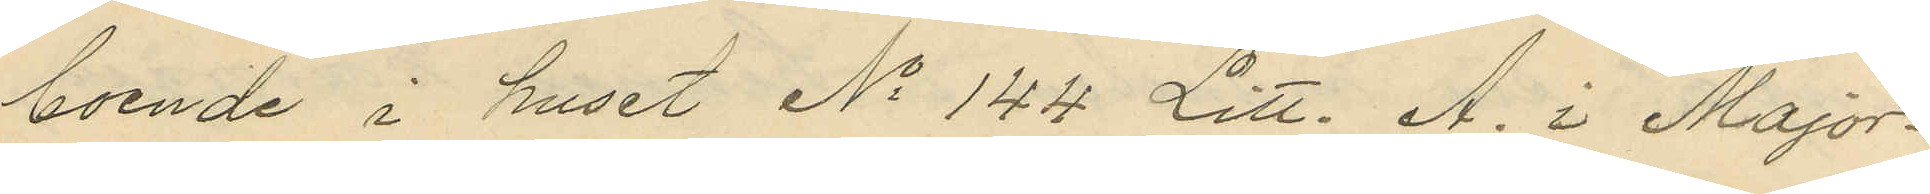boende i huset No 144 Litt. A. i Major¬
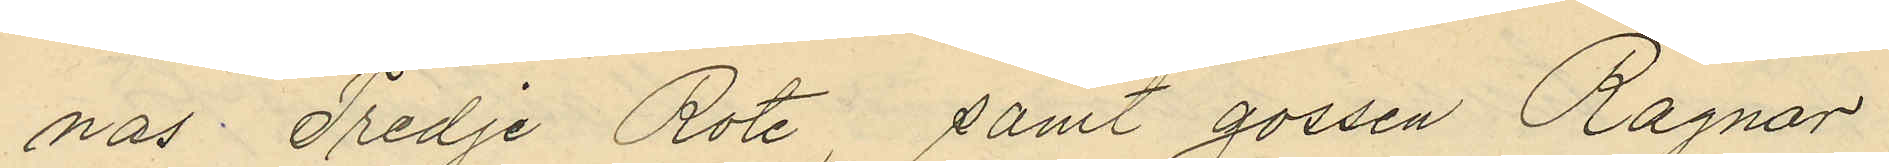nas Tredje Rote, samt gossen Ragnar
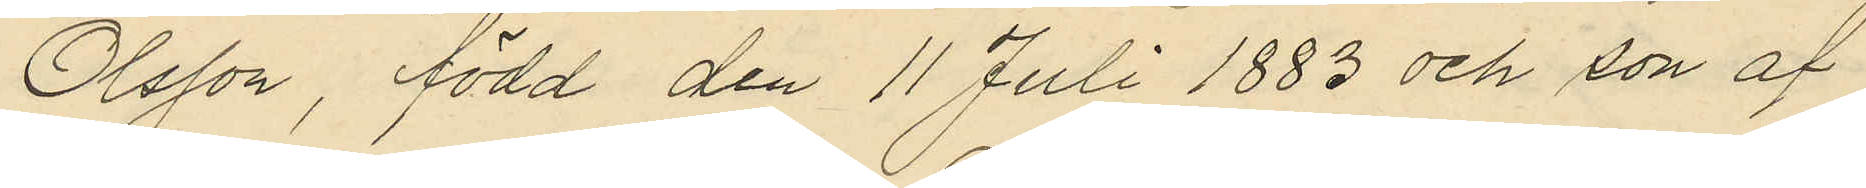Olsson, född den 11 Juli 1883 och son af
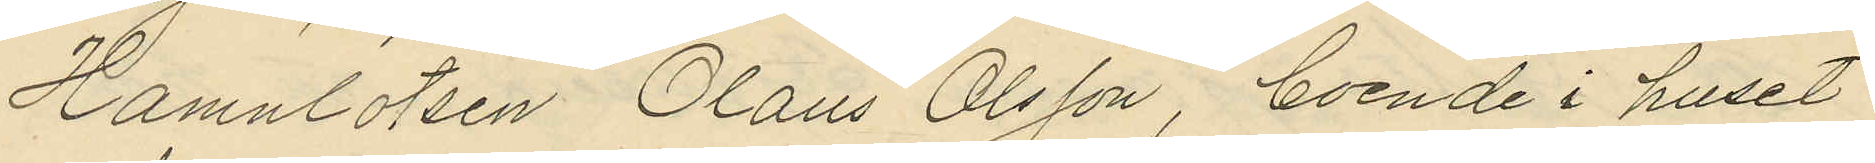Hamnlotsen Olaus Olsson, boende i huset
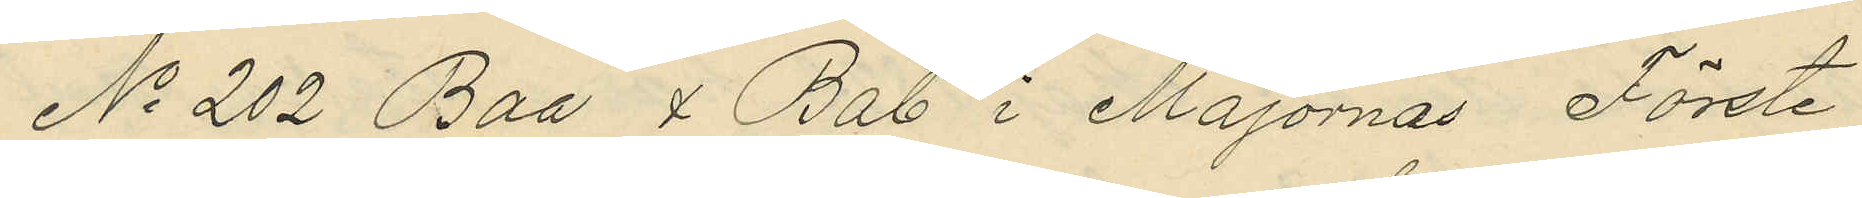No 202 Baa & Bab i Majornas Förste
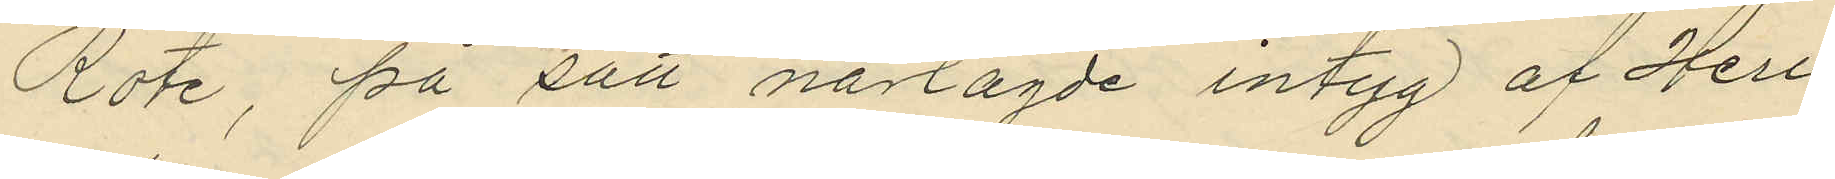Rote, på sätt närlagde intyg af Herr
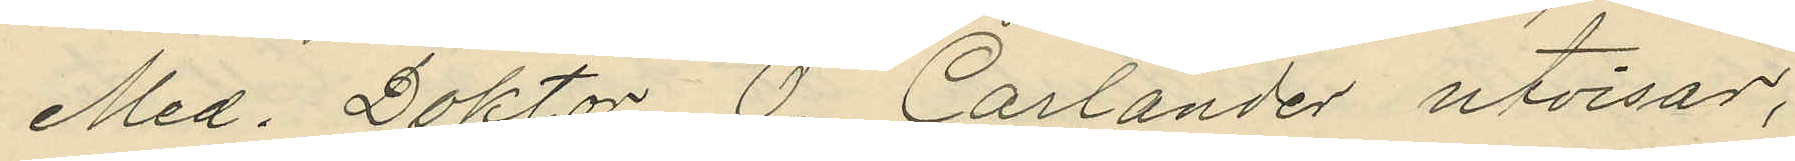Med. Doktor O. Carlander utvisar,
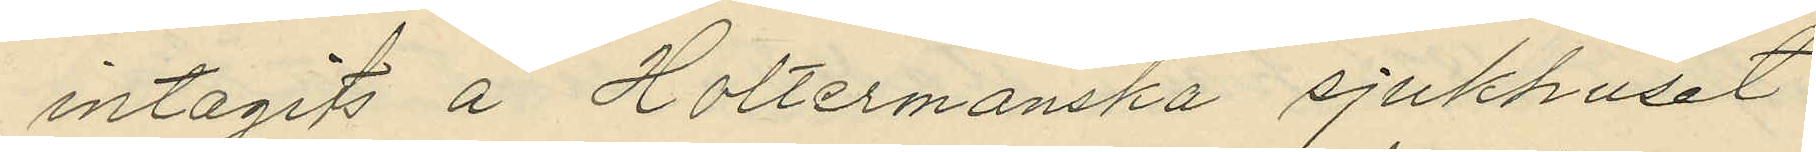intagits å Holtermanska sjukhuset
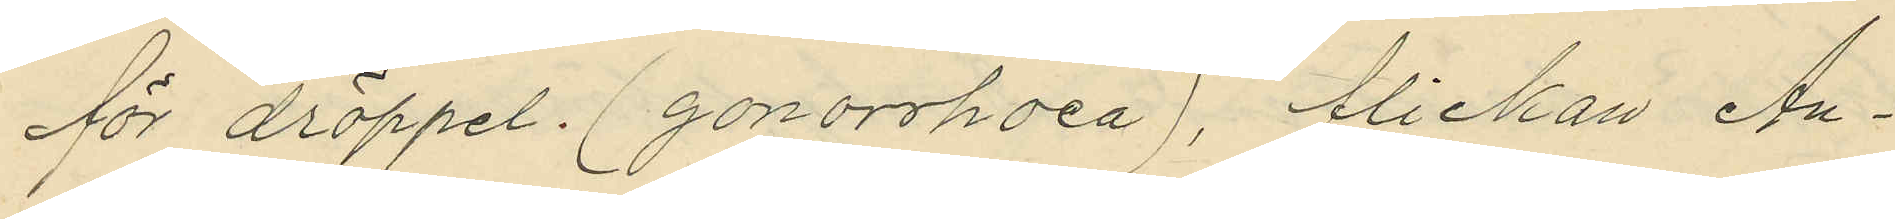för dröppel. (gonorrhoea), flickan An¬
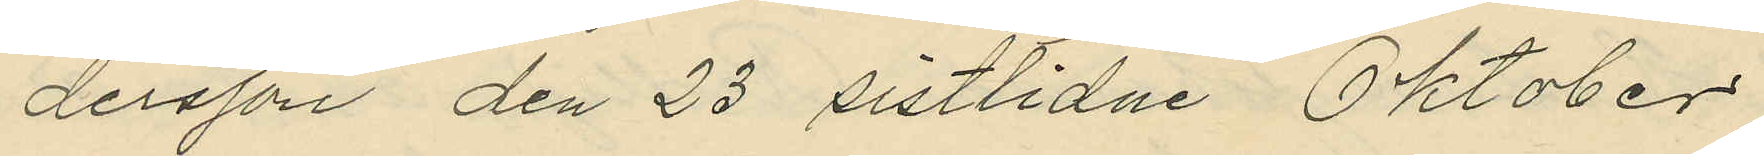dersson den 23 sistlidne Oktober
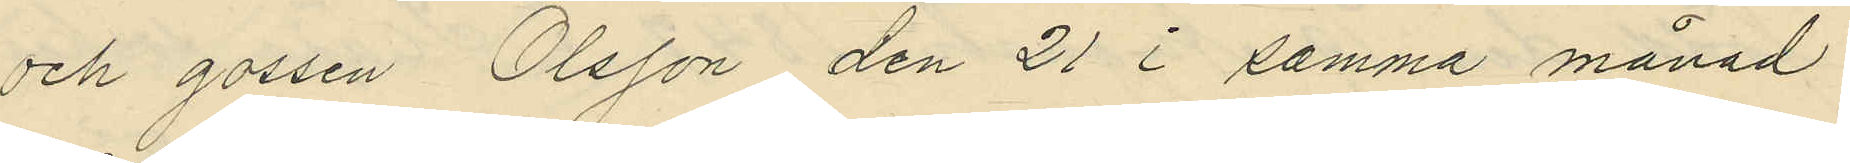och gossen Olsson den 21 i samma månad
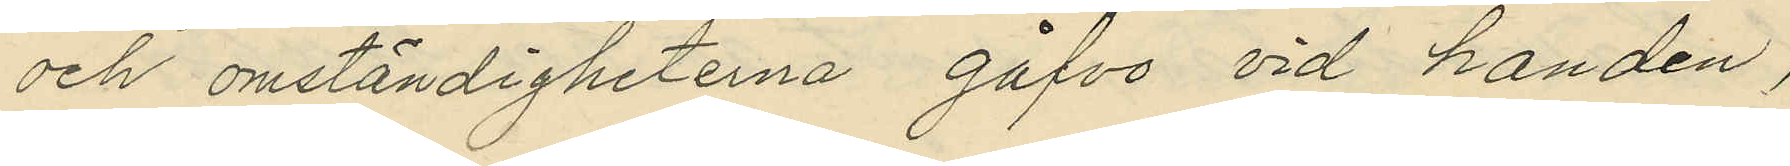och omständigheterna gåfvo vid handen,
